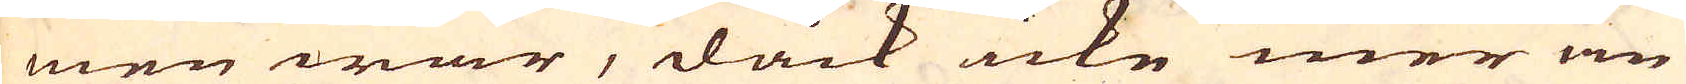men war, dåck icke mer än
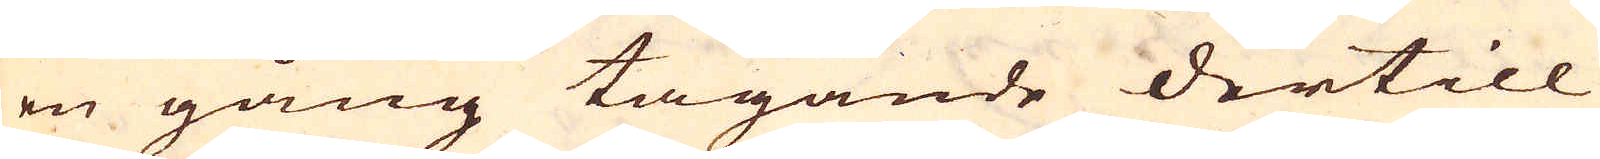en gång tagande dertill
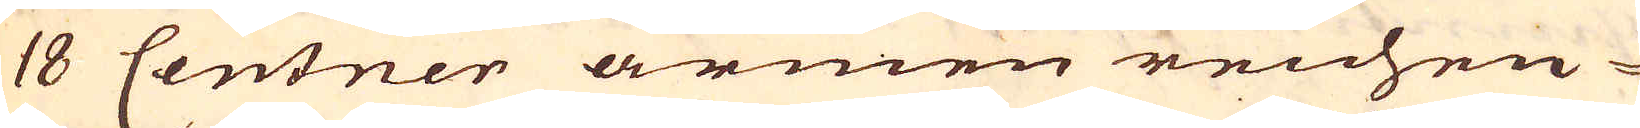18 Centner armen reichen-
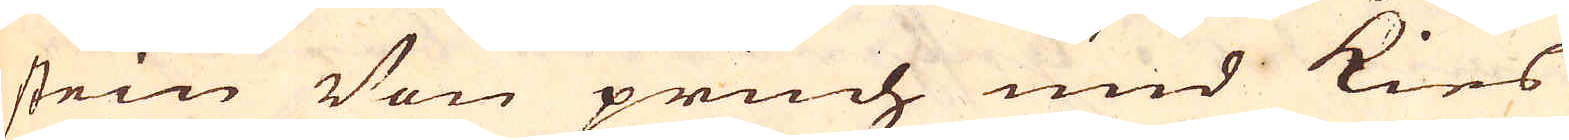stein Von pruch und Kies
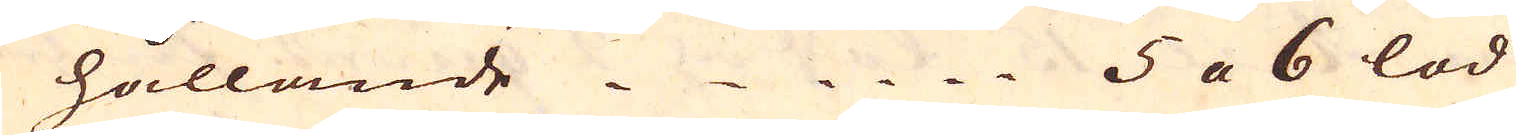hållande 5 a 6 lod
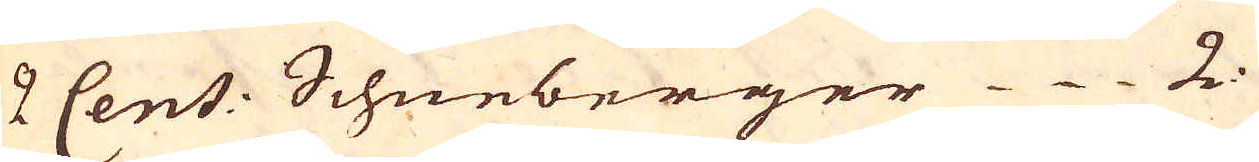2 Cent: Schneberger 2.
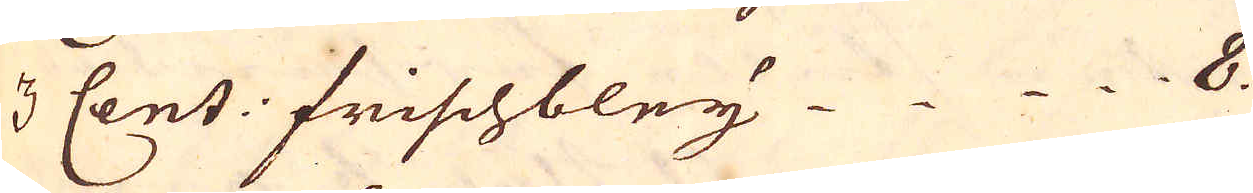3 Cent: frischbley  8.
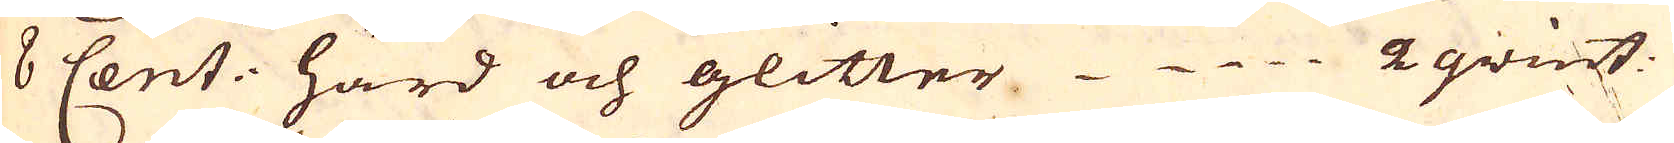8 Cent: hård och glitter 2 qvint.
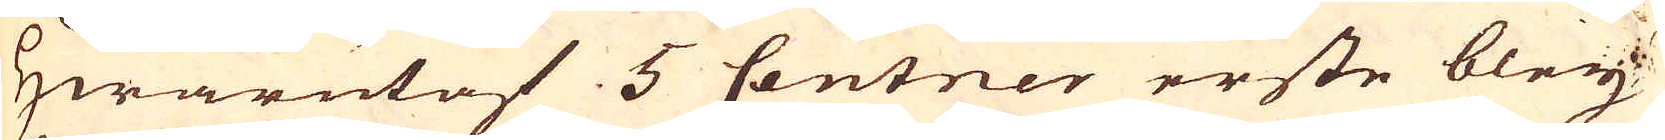Hwarutaf 5 Centner erste bley
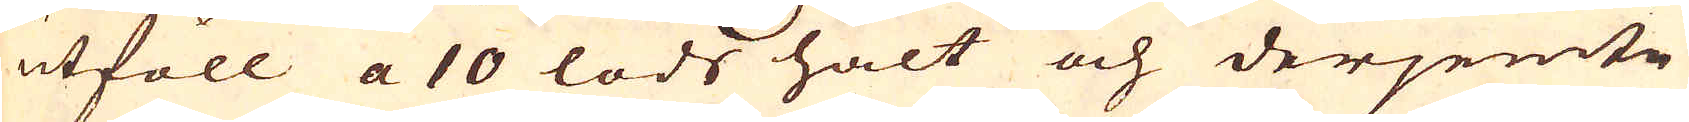utföll a 10 lods halt och derjemte
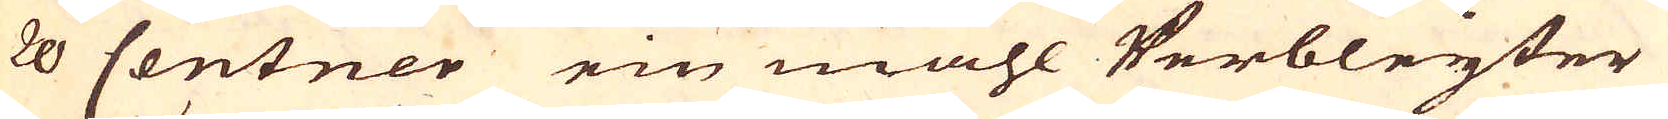20 Centner ein mahl Verbleyter
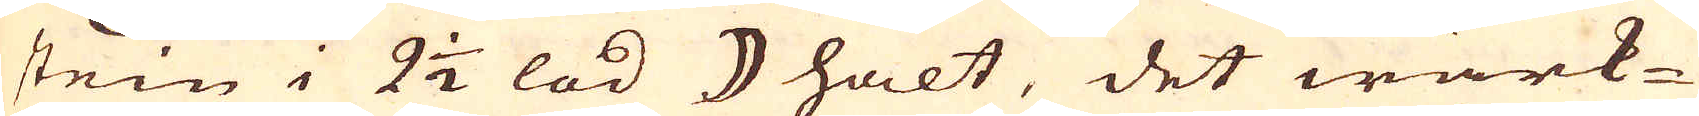stein i 2 1/2 lod ☽ halt, det wärk-
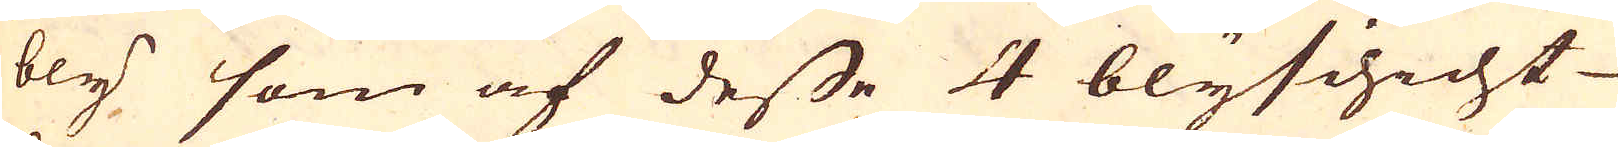bly som af desse 4 blyschicht
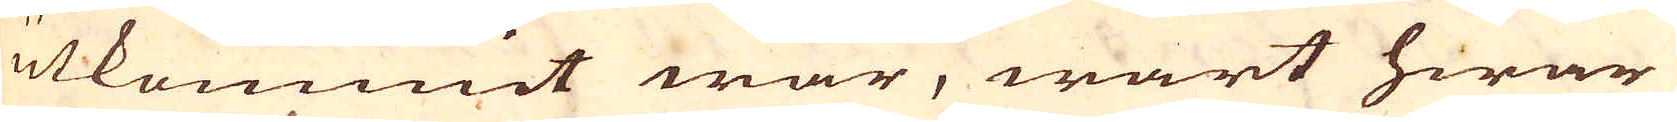utkommit war, wart hwar
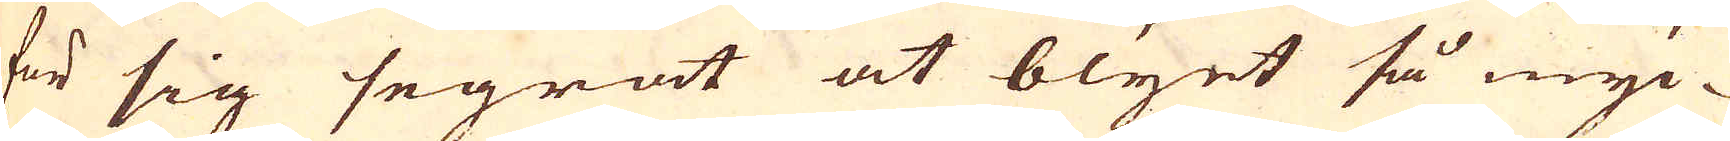för sig segrat at blyet så myc-
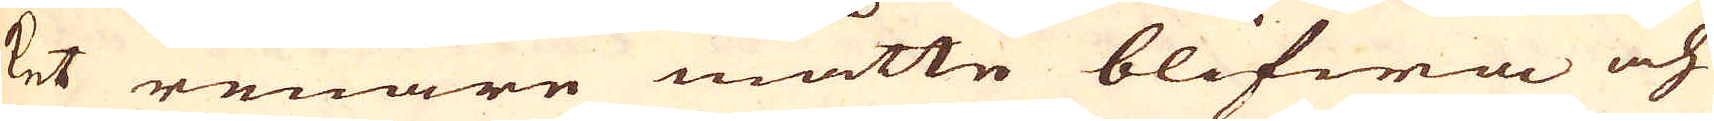ket renare måtte blifwa och
